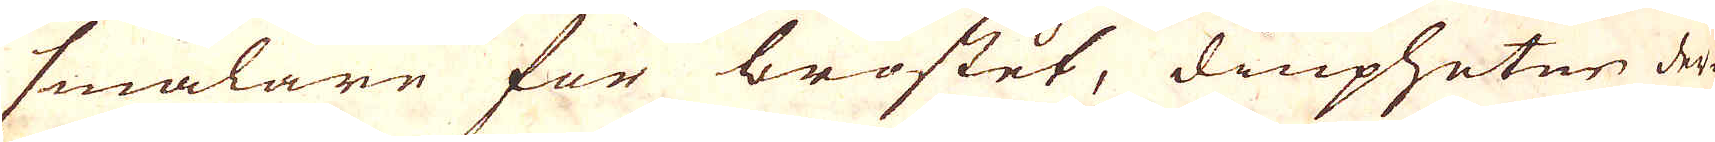smalare för bröstet, diupheten der-
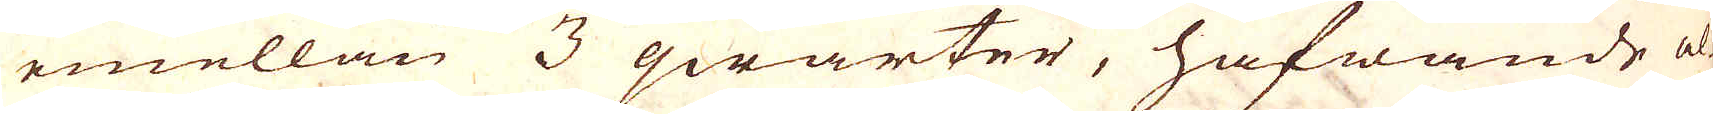emellan 3 qwarter, hafwande al-
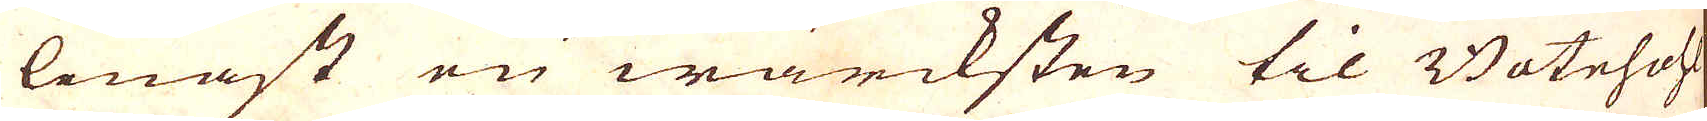lenast en wärcksten til Botnhohl
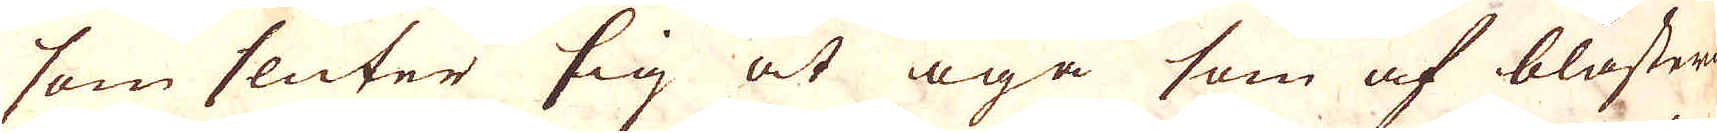som sluter sig åt öga som af blåstern
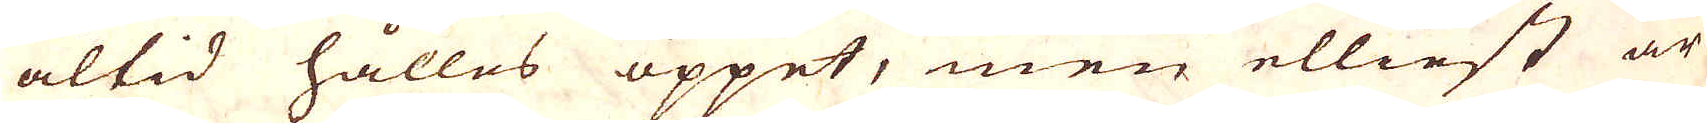altid hålles öppet, men elliest är
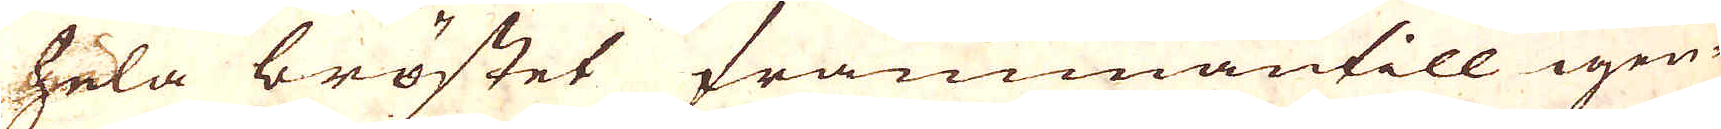hela bröstet frammantill igen-
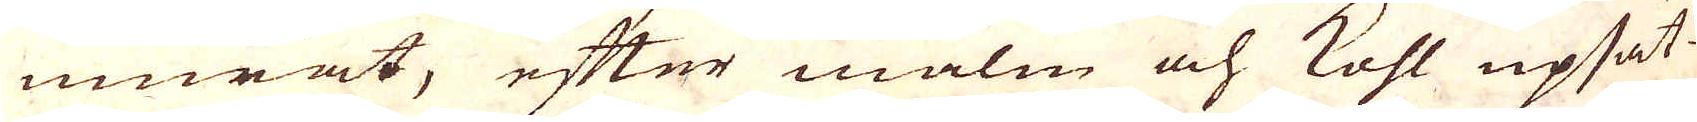murat, efter malm och kohl upsat-
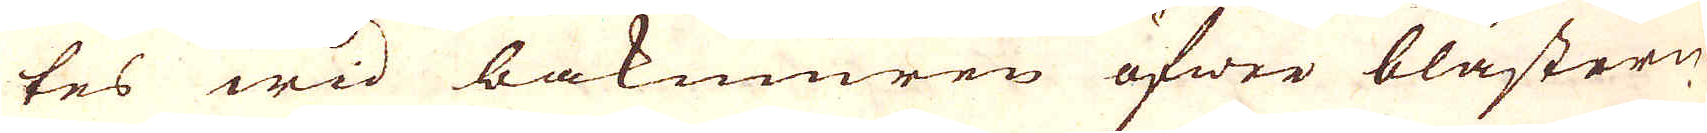tes wid bakmuren öfwer blästern.
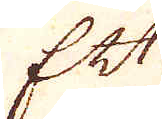Ett
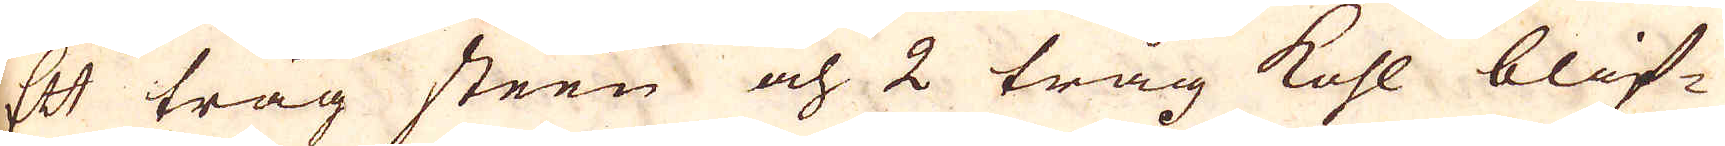Ett tråg steen och 2 tråg kohl blif-
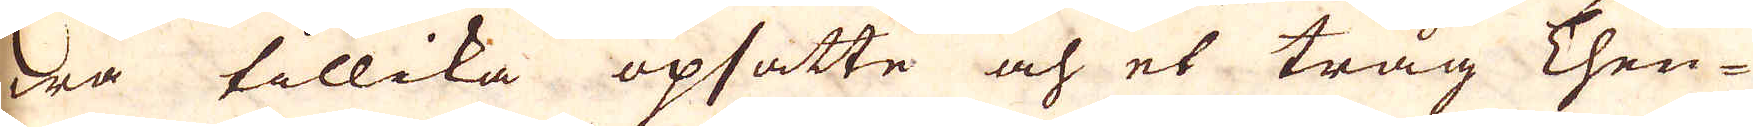wa tillika opsatte och et tråg Then-
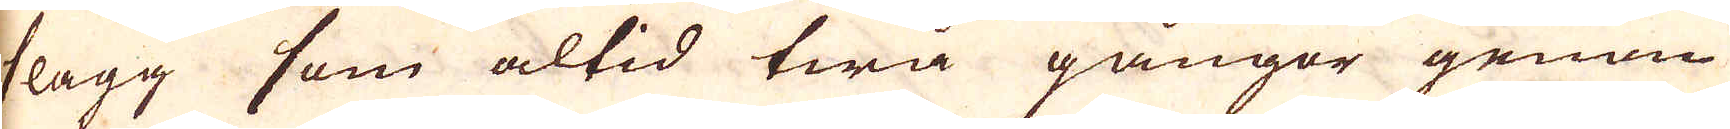slagg som altid twå gångor genom
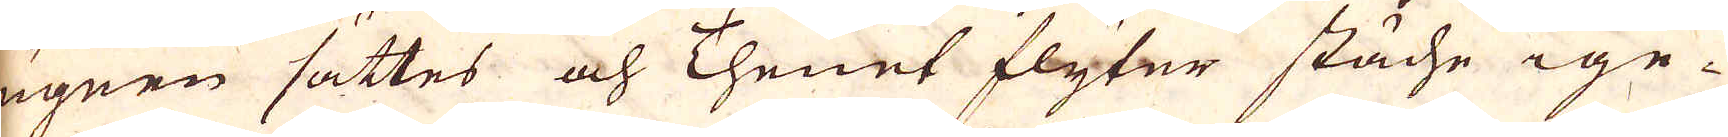ugnen sättes och Thenet flyter stäche ige-
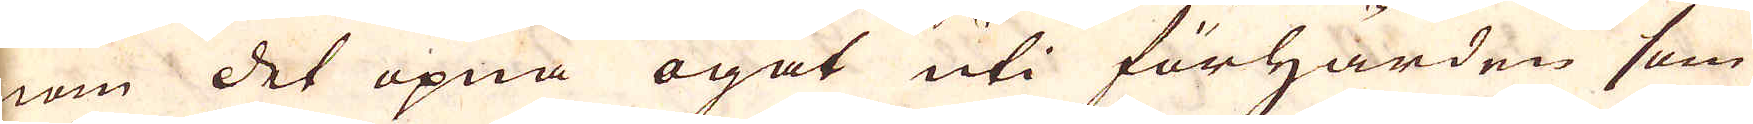nom det öpna ogat uti förhärden som
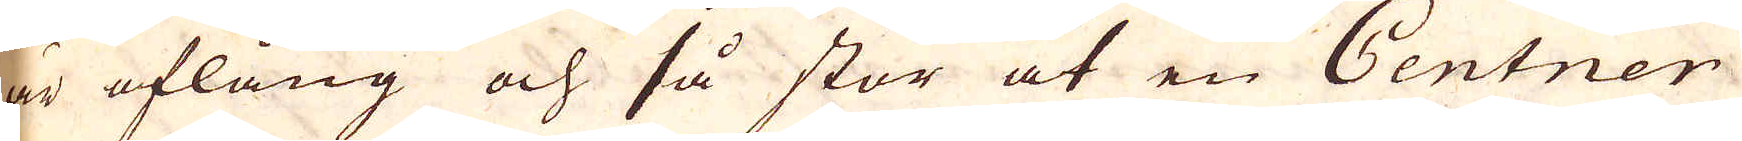är aflång och så stor at en Centner
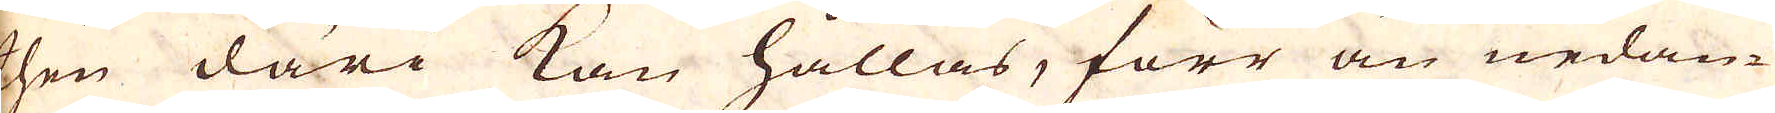then däri kan hållas, förr än nedan-
